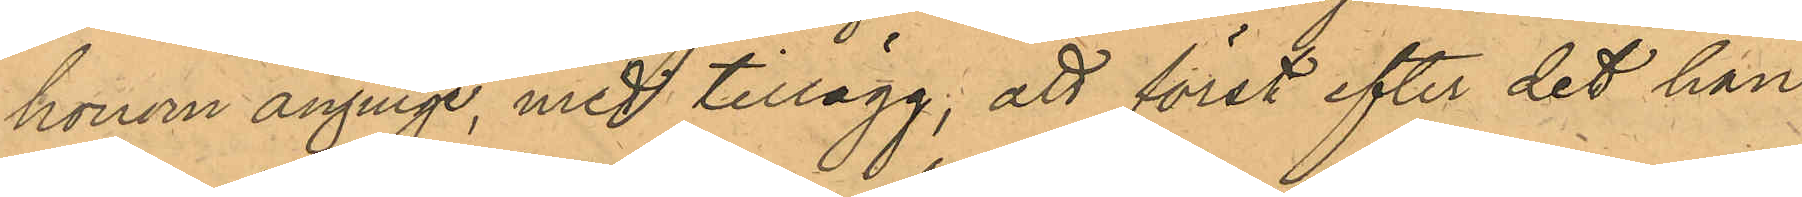honom anginge, med tillägg, att först efter det han
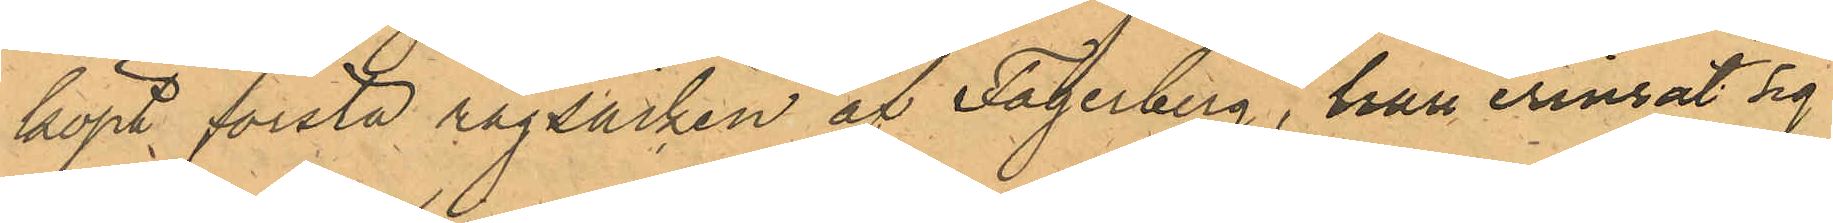köpt första rågsäcken af Fagerberg, han erinrat sig
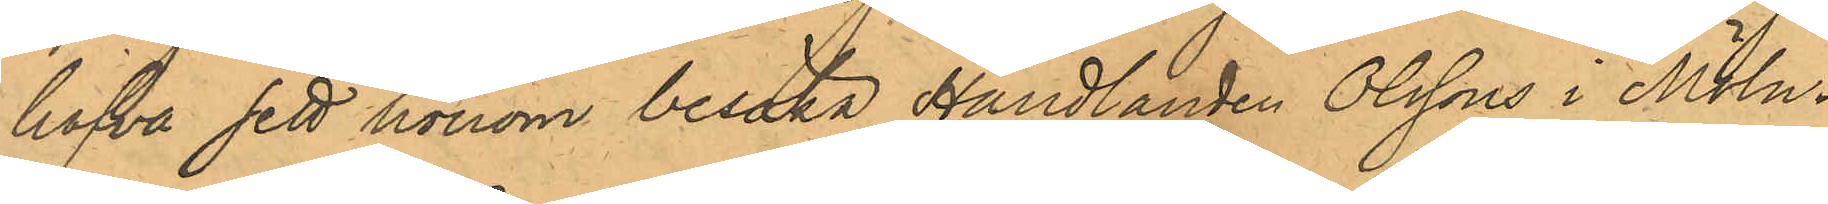hafva sett honom besöka Handlanden Olssons i Möln¬
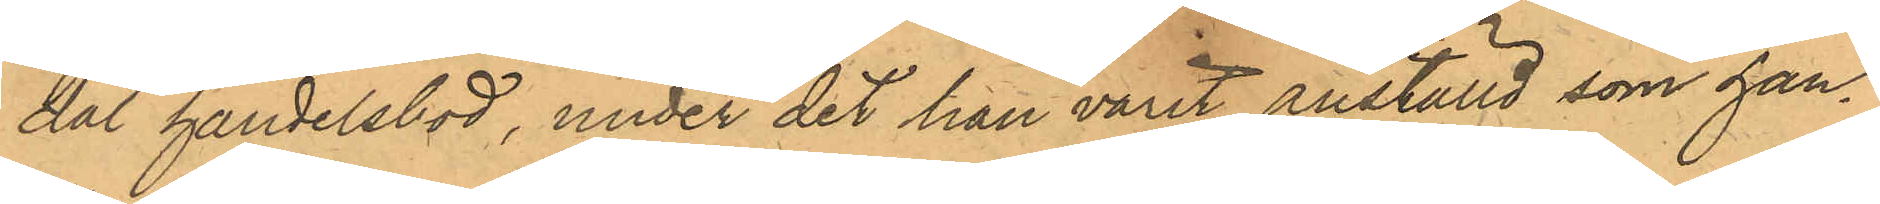dal handelsbod, under det han varit anställd som han¬
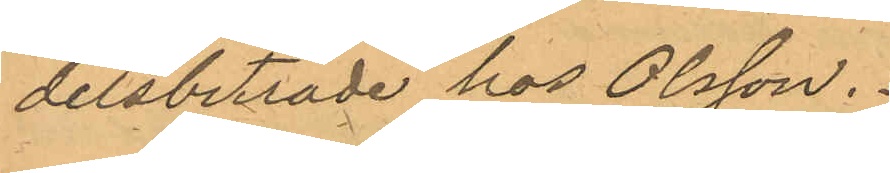delsbiträde hos Olsson.
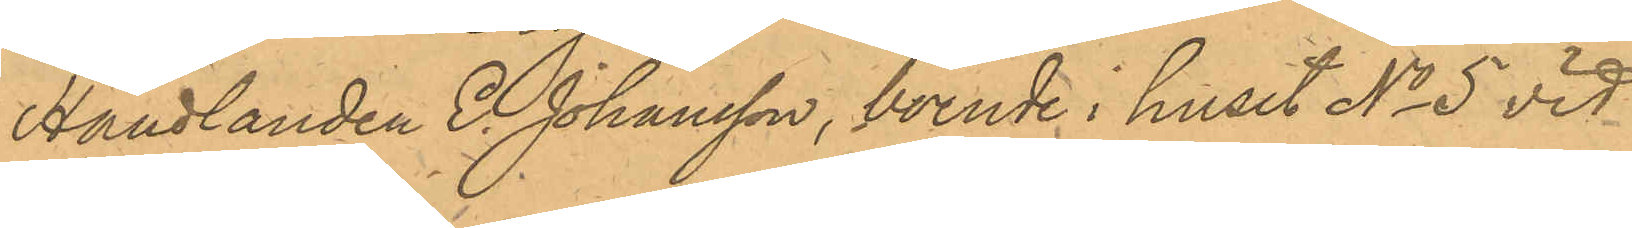Handlanden E. Johansson, boende i huset No 5 vid
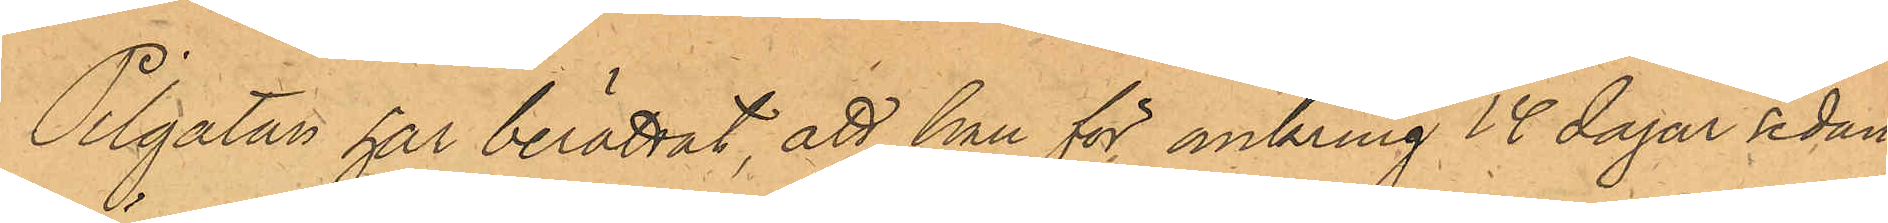Pilgatan har berättat, att han för omkring 14 dagar sedan
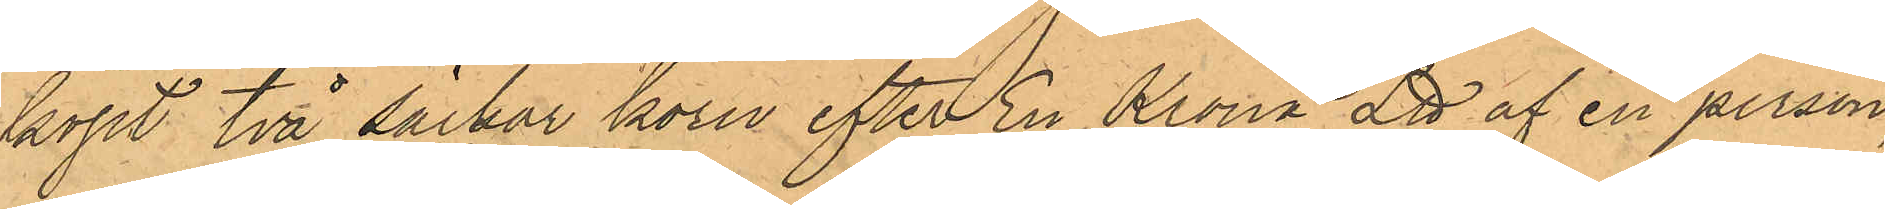köpt två säckar korn efter En Krona L℔ af en person,
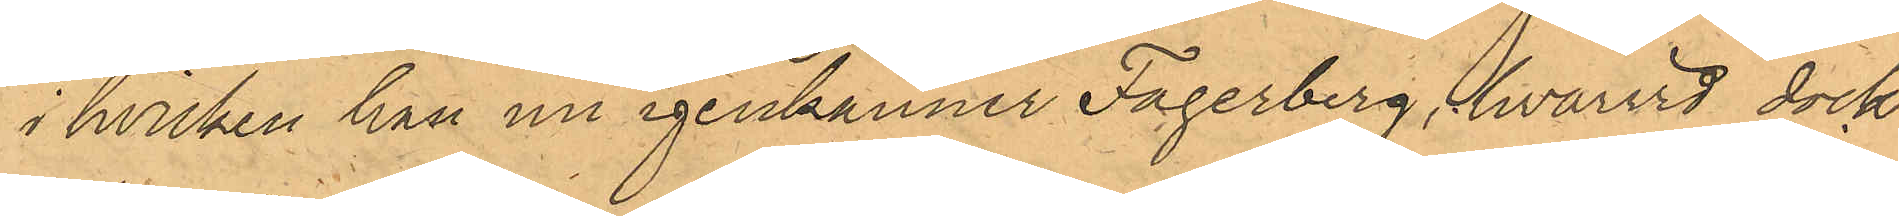i hvilken han nu igenkänner Fagerberg, hvarvid dock
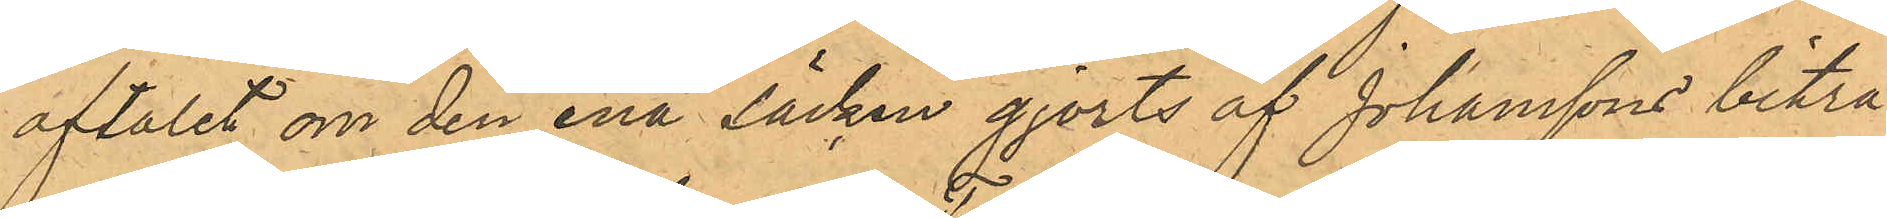aftalet om den ena säcken gjorts af Johanssons biträ¬
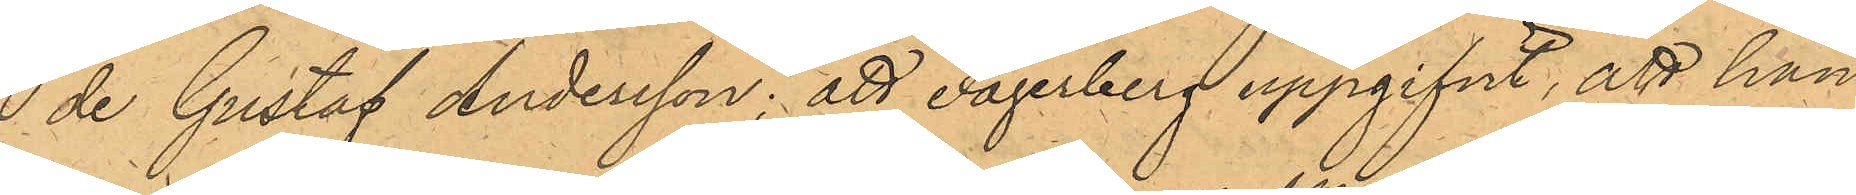 de Gustaf Andersson; att Fagerberg uppgifvit, att han
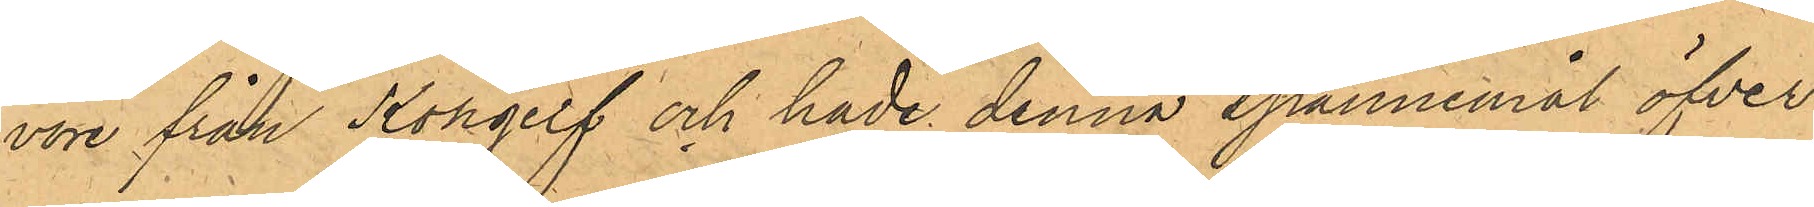vore från Kongelf och hade denna spannemål öfver¬
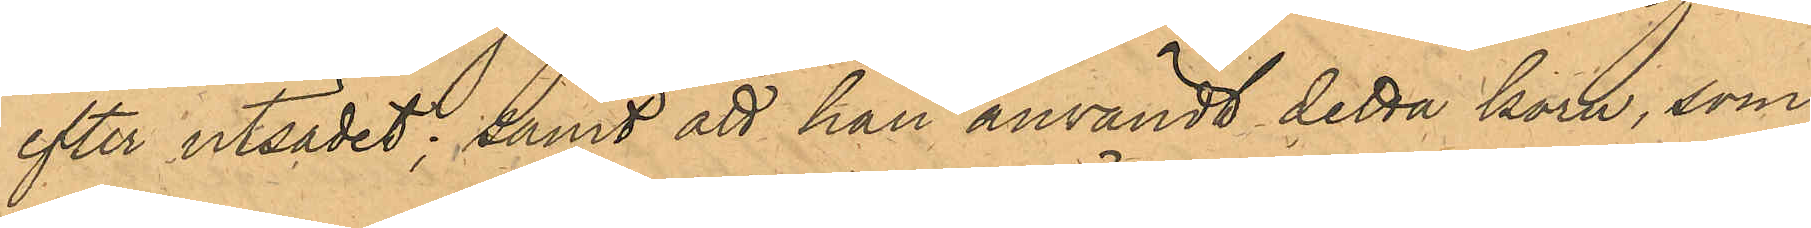efter utsädet; samt att han användt detta korn, som
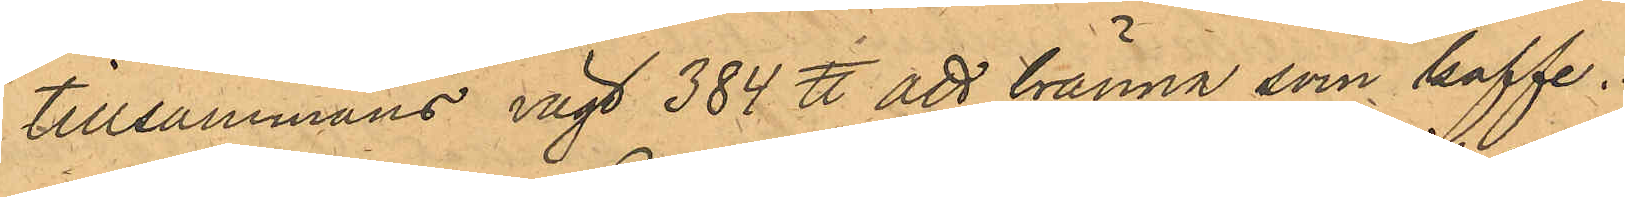tillsammans vägt 384 ℔ att bränna som kaffe.
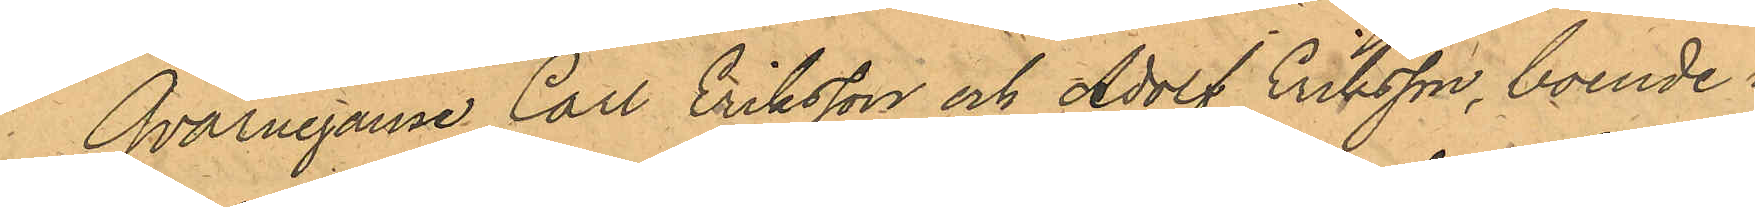Qvarnegarne Carl Eriksson och Adolf Eriksson, boende i
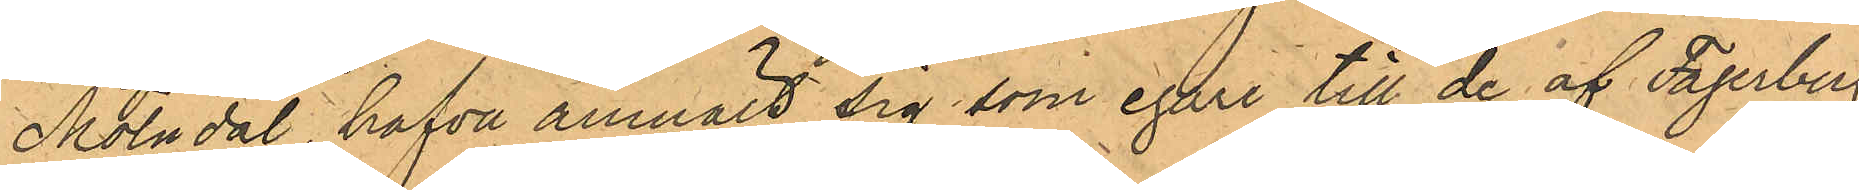Mölndal, hafva anmält sig, som egare till de af Fagerberg
